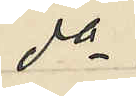do
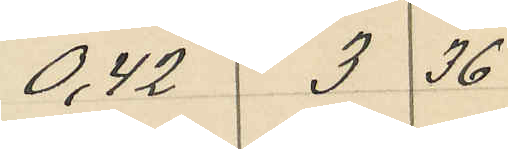0.42 3 36
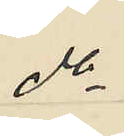do
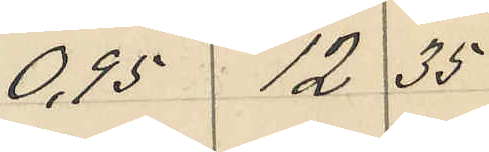0,95 12 35
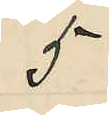5
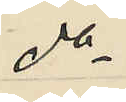do
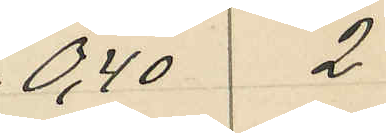0,40 2
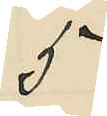5
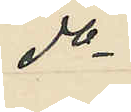do
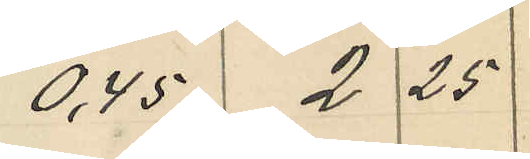0,45 2 25
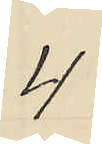4
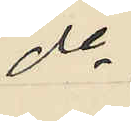do
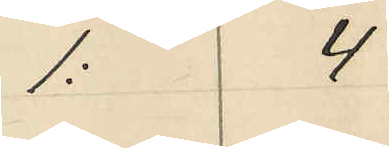1: 4
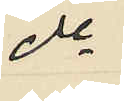do
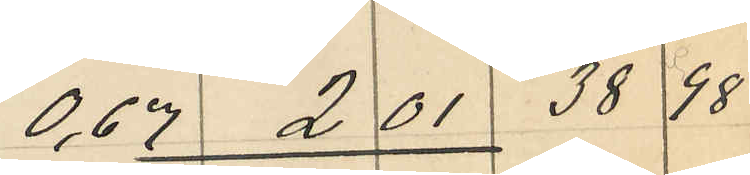0,67 2 01 38 98
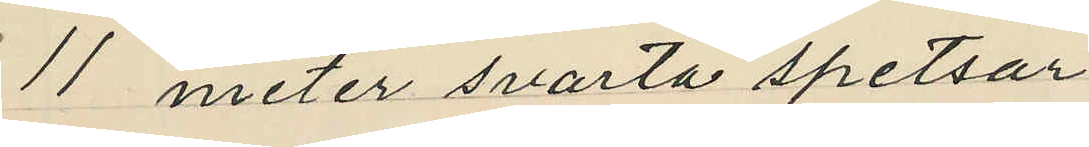11 meter svarta spetsar
